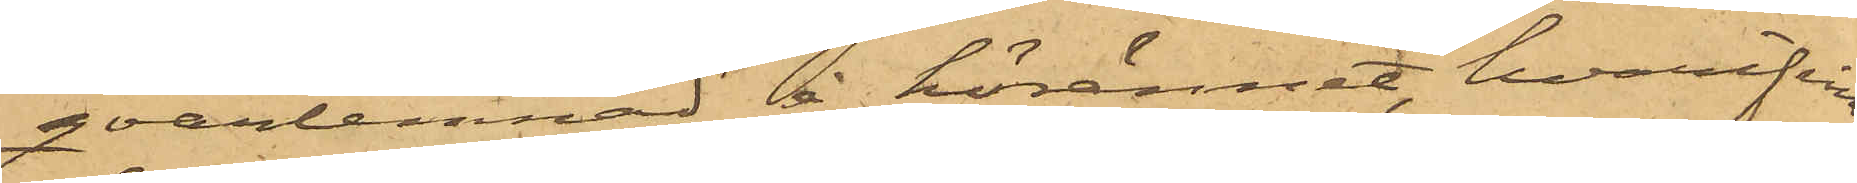qvarlemnad å hörännet hvarifrån
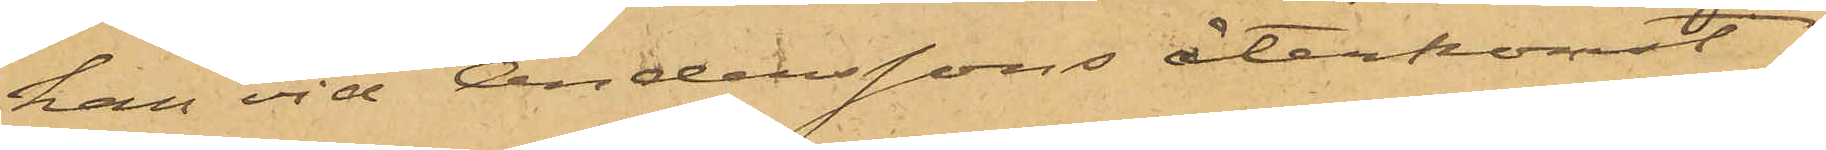han vid Anderssons återkomst
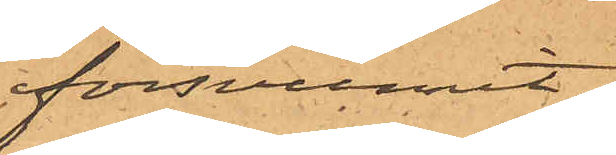försvunnit.
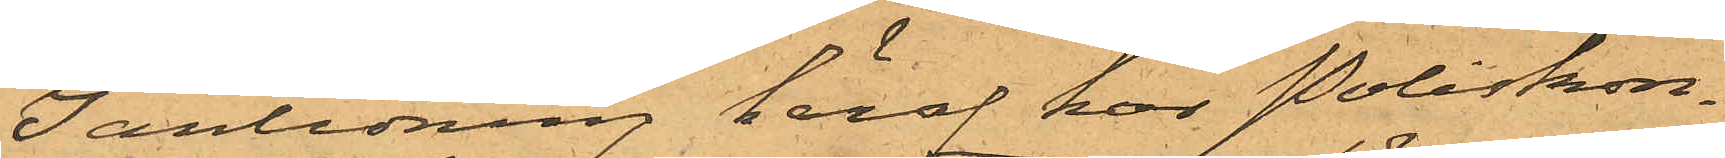I anledning häraf har Poliskon¬
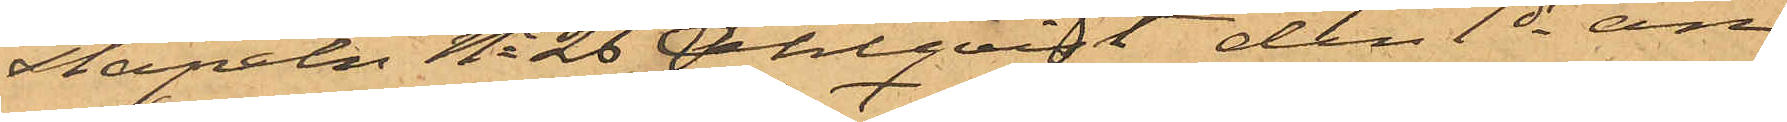tapeln No 26 Dahlqvist den 1 ds an¬
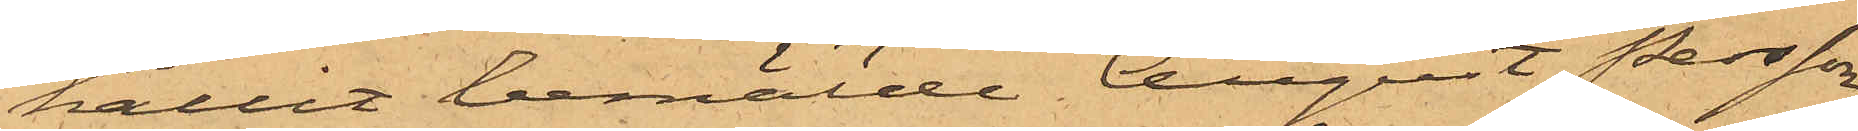hållit bemälde August Persson,
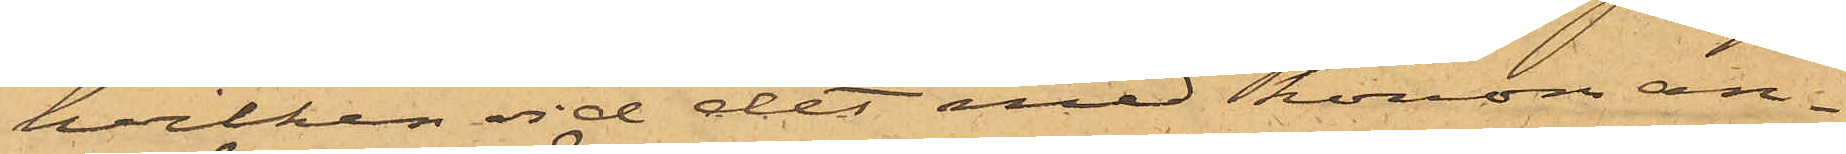hvilken vid det med honom an¬
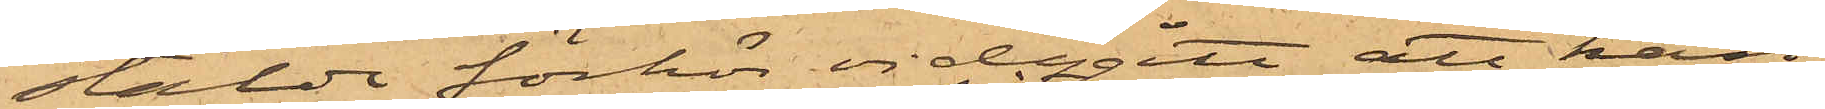stälde förhör vidgått att han,
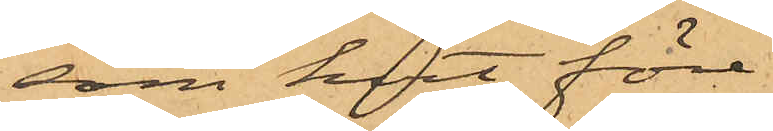som kort före
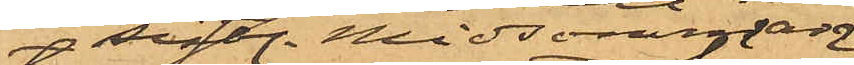sistl. Midsommar
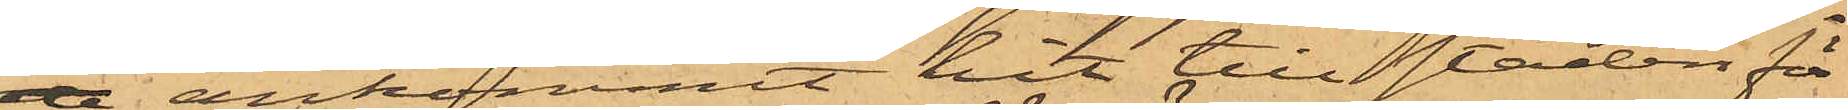de ankommit hit till staden för
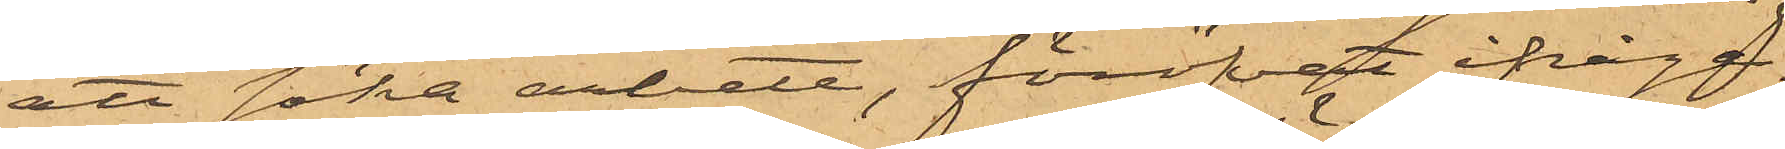att söka arbete, föröfvat ifråga¬
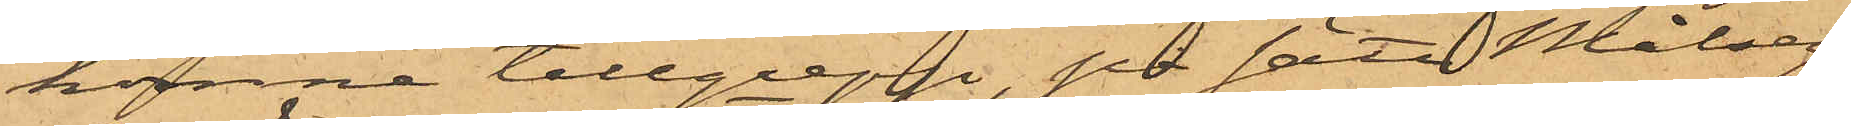komne tillgrepp på sätt Målseg.
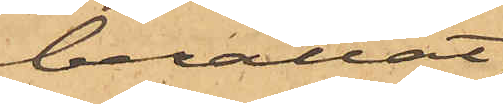berättat;
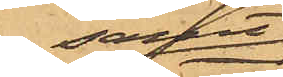samt
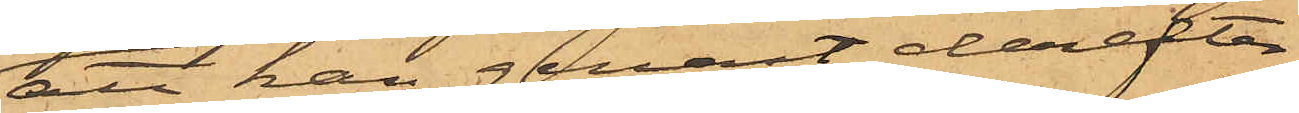att han genast derefter
